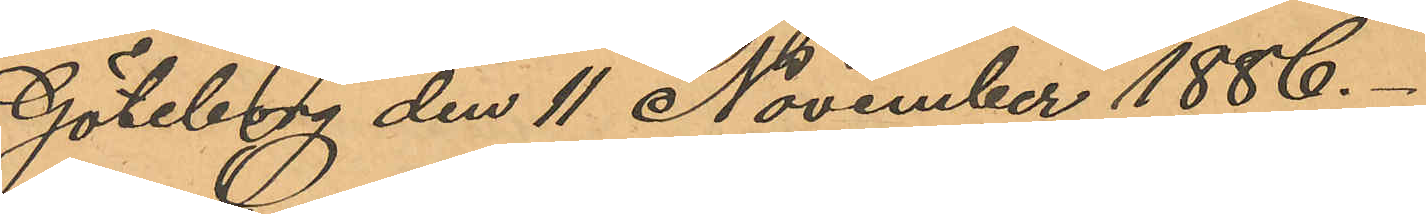Göteborg den 11 November 1886.
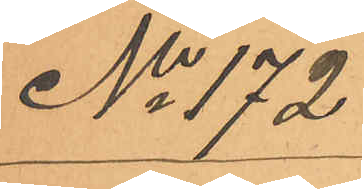No 172
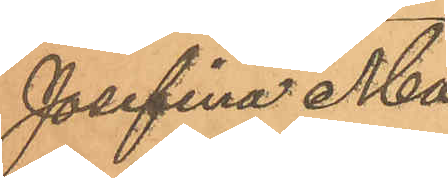Josefina Ma¬
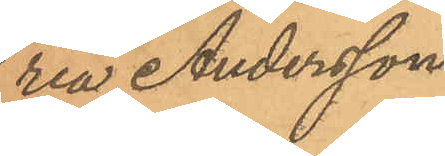ria Andersson
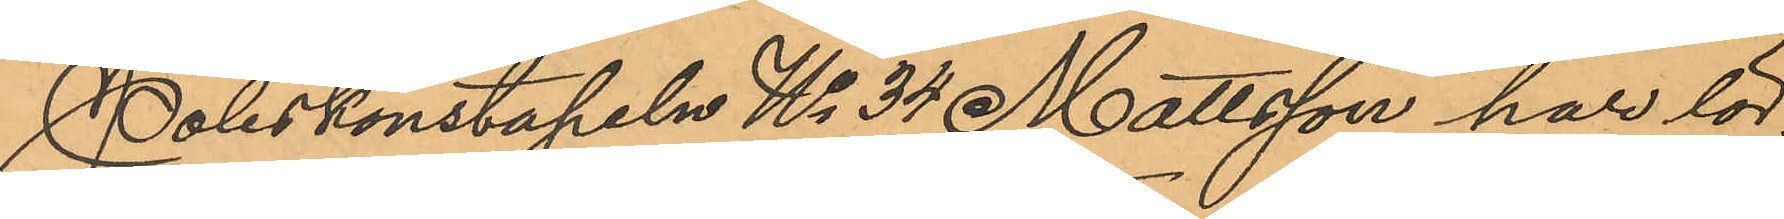Poliskonstapeln No 34 Mattsson har lör¬
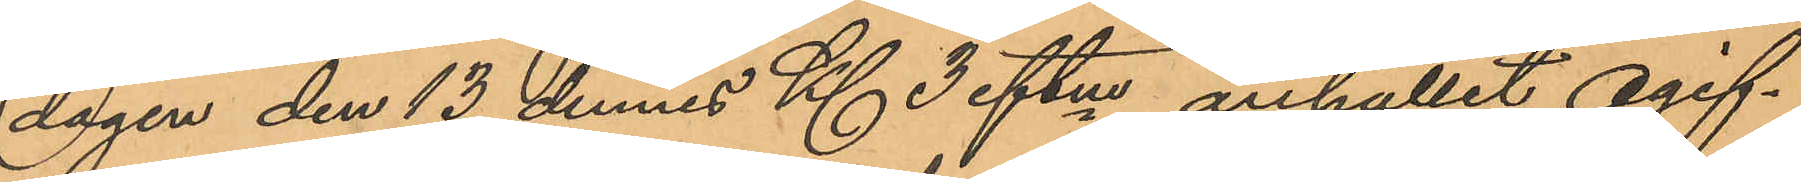dagen den 13 dennes Kl. 3 eftm anhållit ogif¬
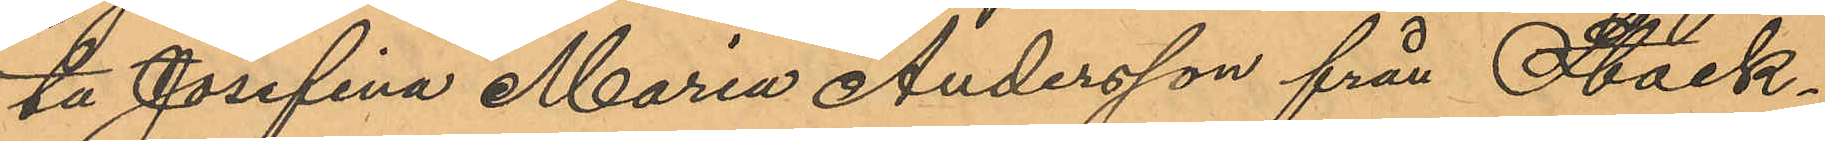ta Josefina Maria Andersson från Stock¬
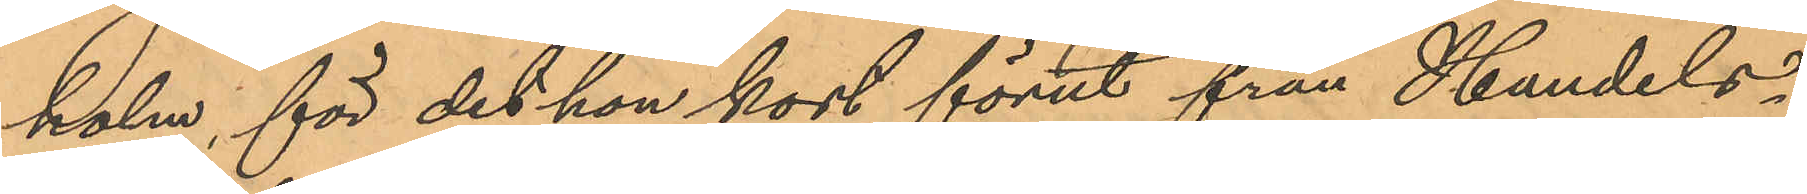holm, för det hon kort förut från Handels¬
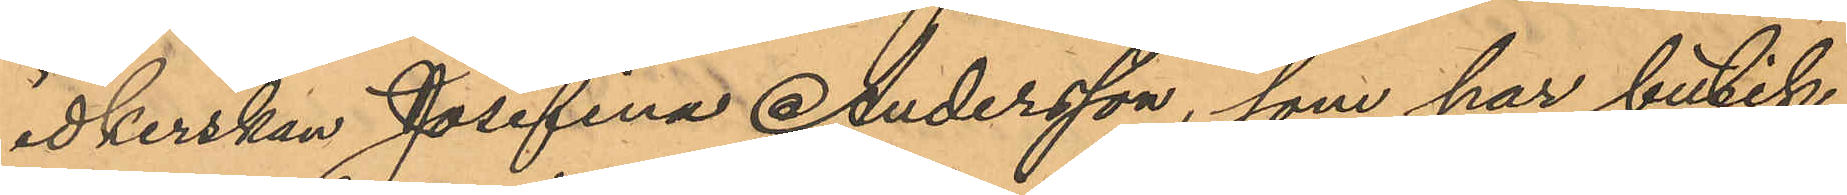idkerskan Josefina Andersson, som har butik
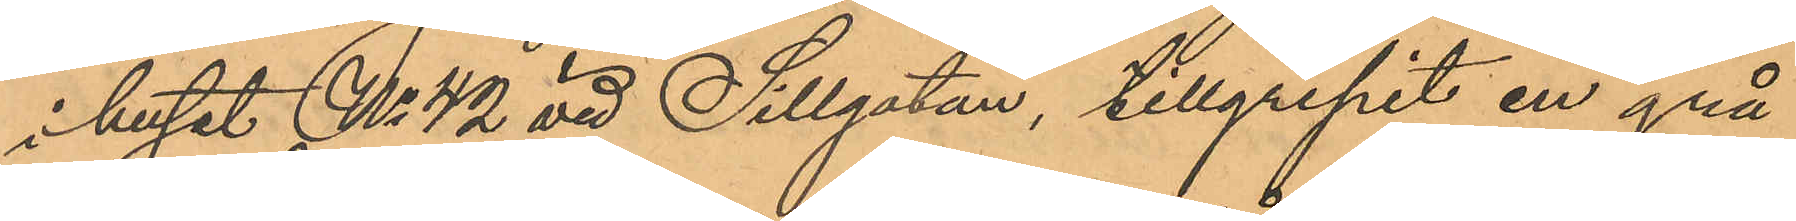i huset No 42 vid Sillgatan, tillgripit en grå
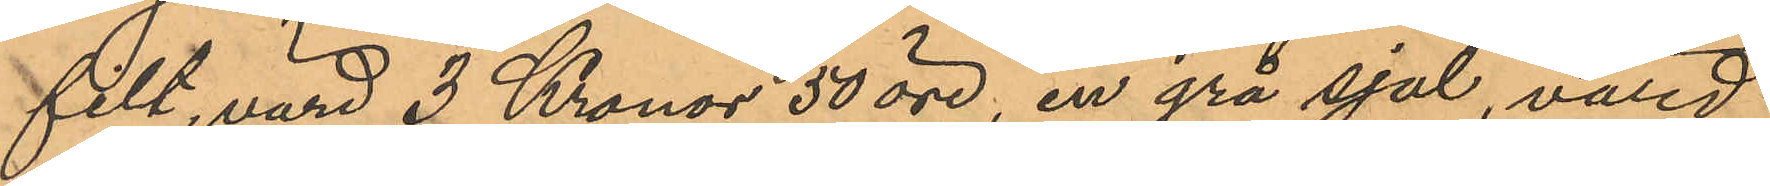filt, värd 3 Kronor 50 öre, en grå sjal, värd
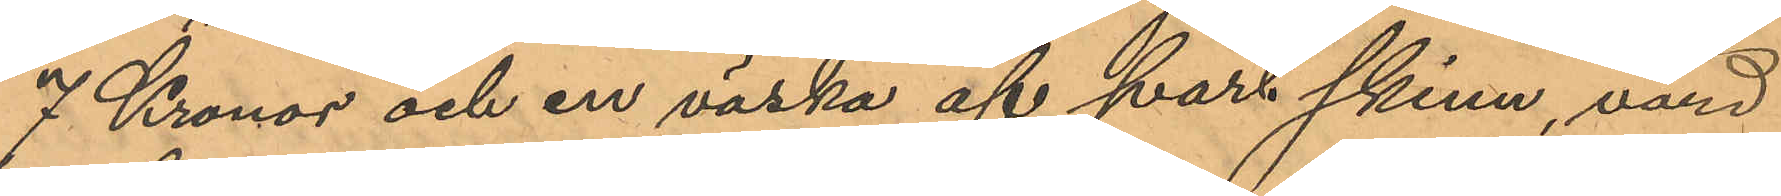7 Kronor och en väska af svart skinn, värd
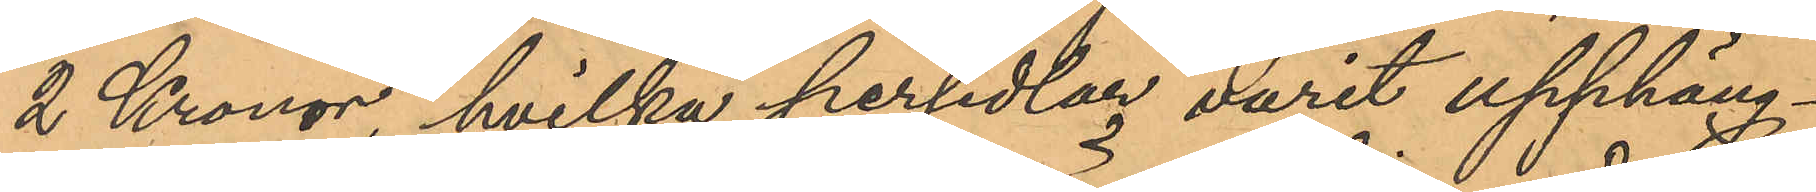2 Kronor, hvilka persedlar varit upphäng¬
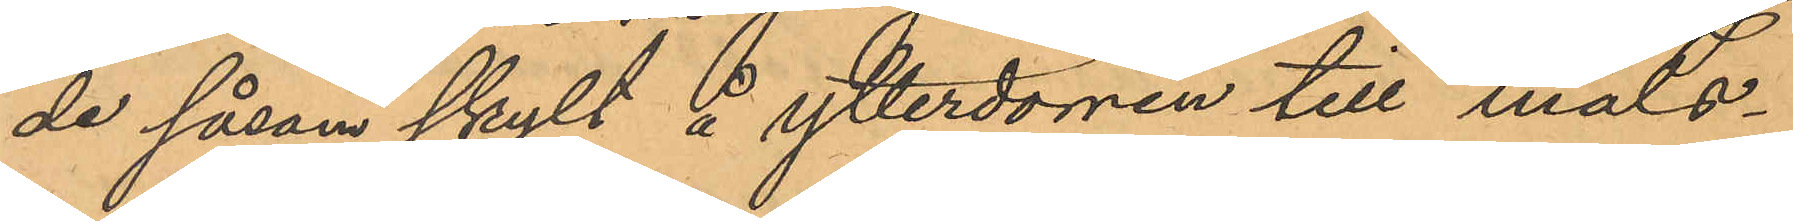de såsom skylt å ytterdörren till måls¬
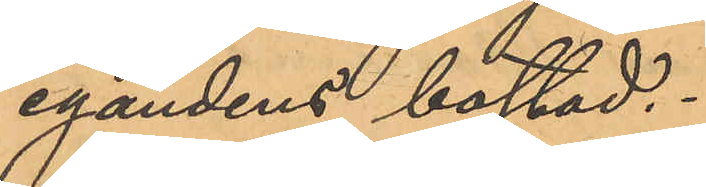egandens bostad.
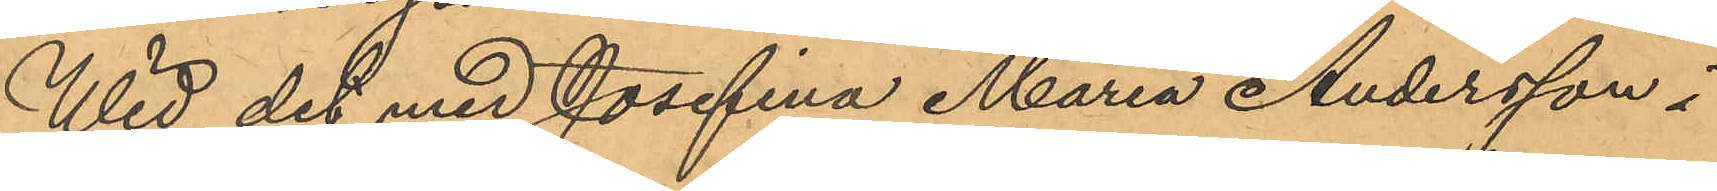Wid det med Josefina Maria Andersson i
